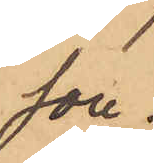son.
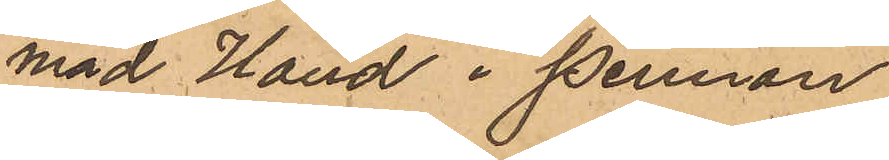mäd Hand i pennan
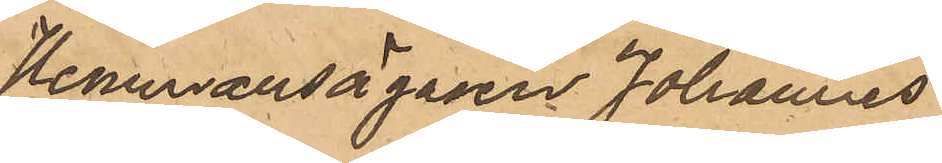hemmansägaren Johannes
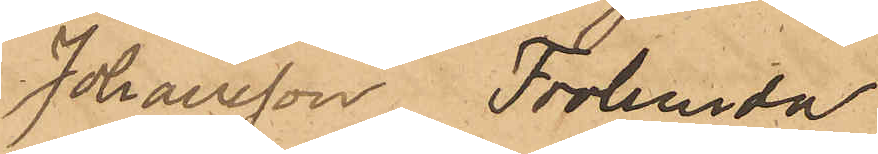Johansson, Frölunda
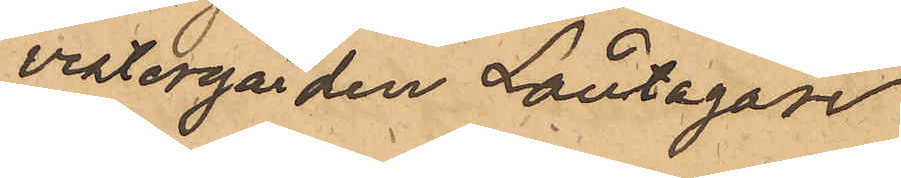vestergården Låntagare
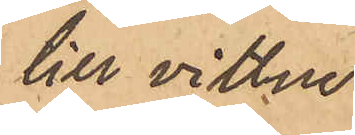till vittne
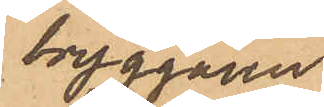bryggaren.
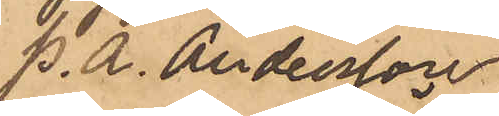P. A. Andersson
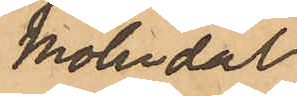Mölndal
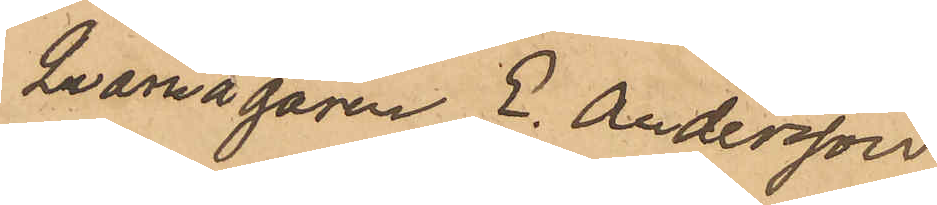Qvarnägaren E. Andersson
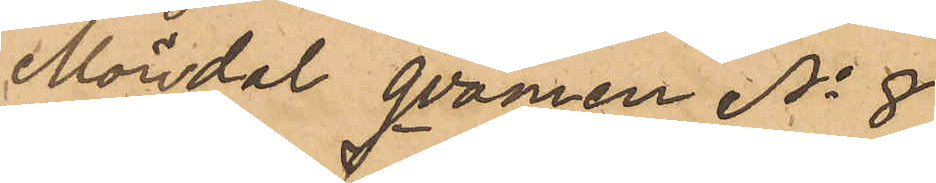Möndal qvarnen No 8
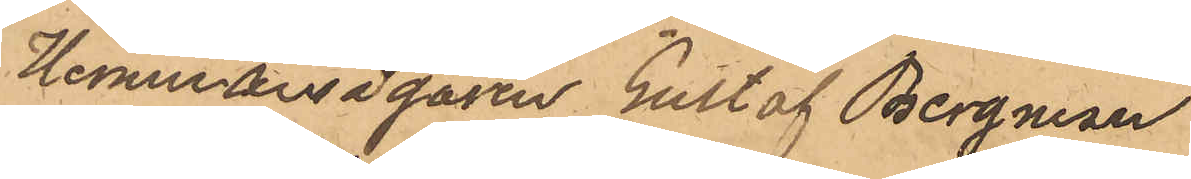Hemmansegaren Gustaf Bergman
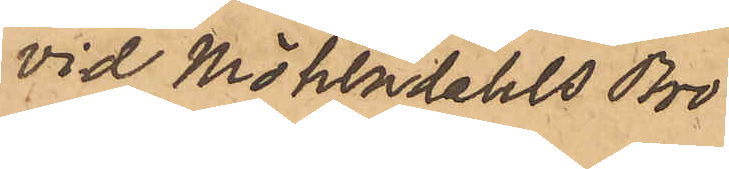vid Möhlndahls Bro
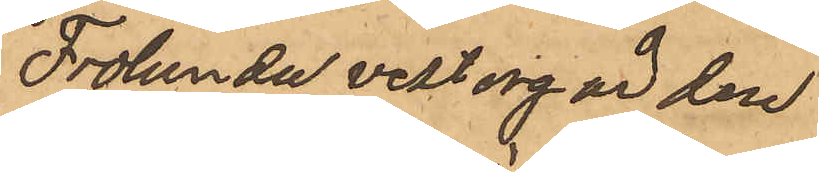Frölunda vestergården
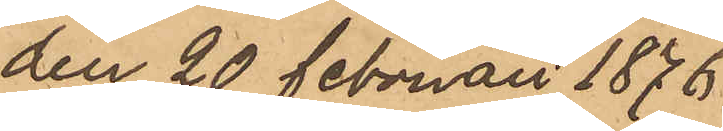den 20 Februari 1876.
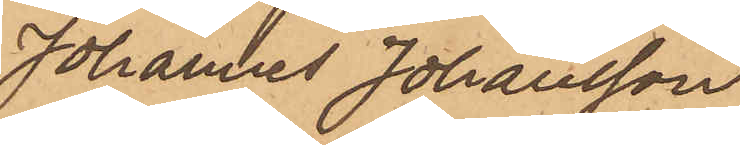Johannes Johansson
